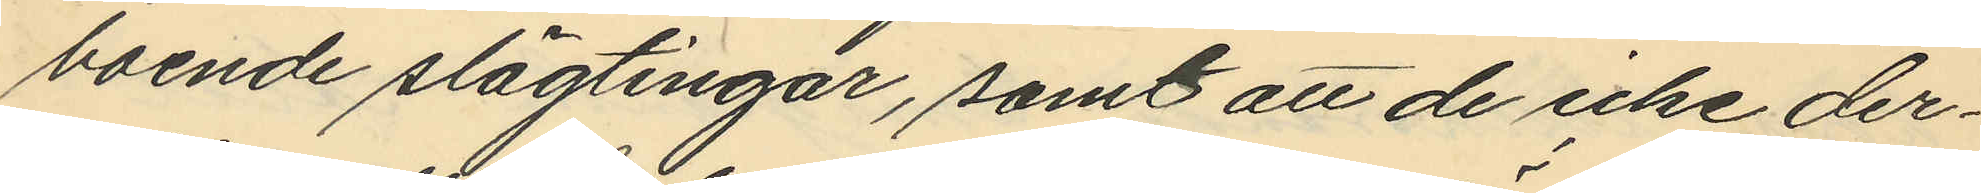boende slägtingar, samt att de icke der¬
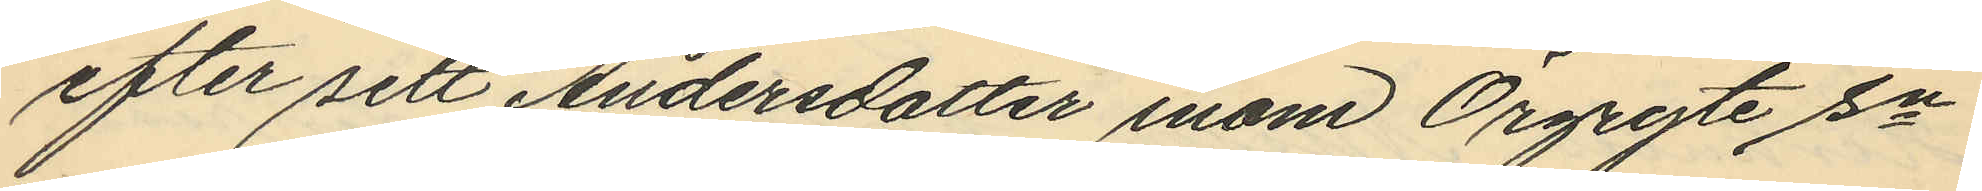efter sett Andersdotter inom Örgryte sn
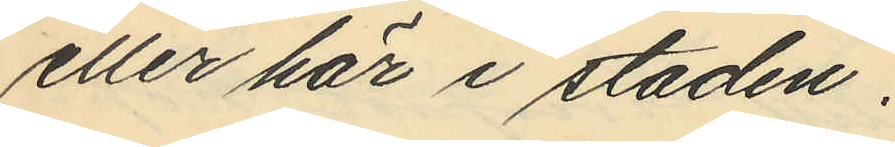eller här i staden.
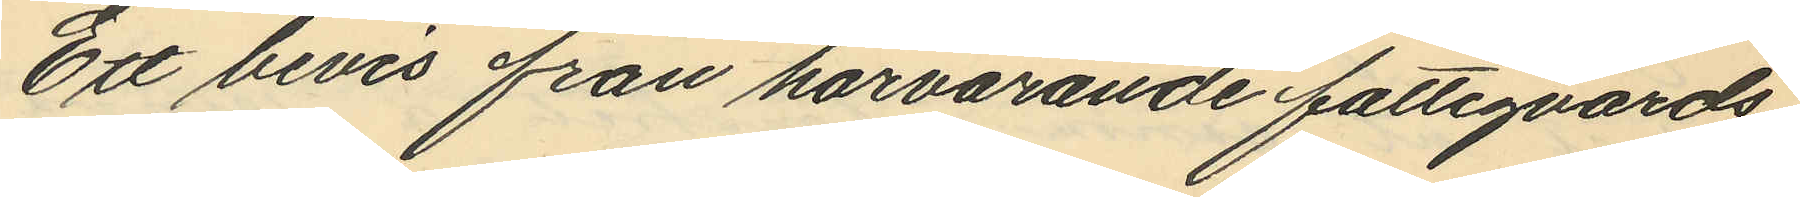Ett bevis från härvarande fattigvårds
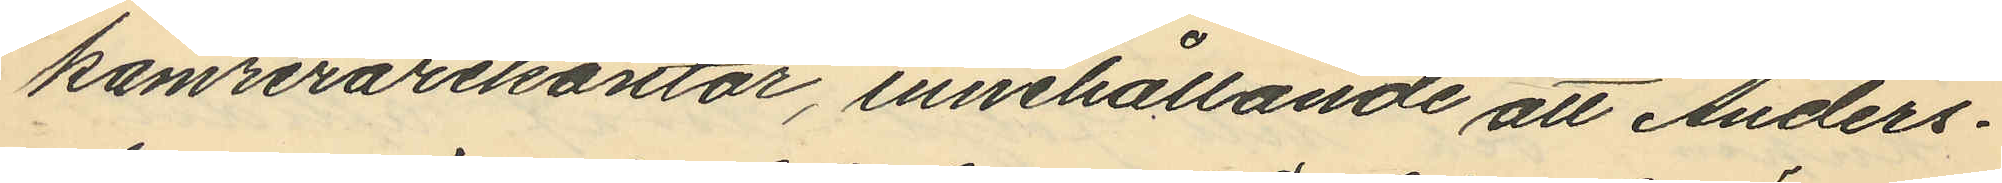kamrerarekontor, innehållande att Anders¬
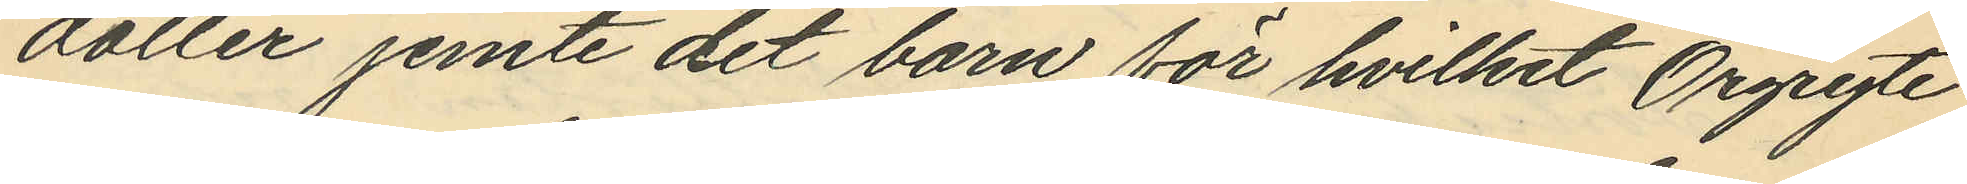dotter jemte det barn för hvilket Örgryte
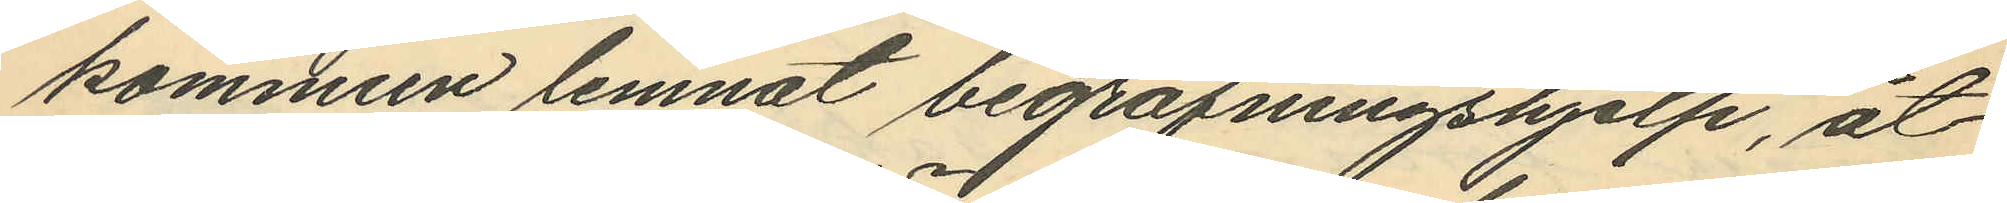kommun lemnat begrafningshjelp, åt¬
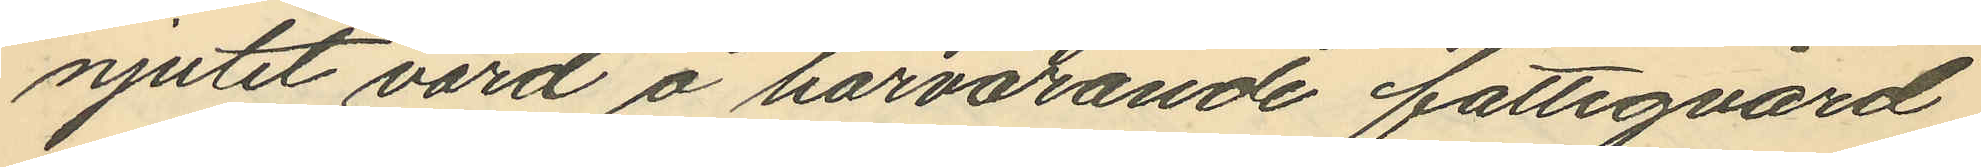njutet vård å härvarande fattigvård
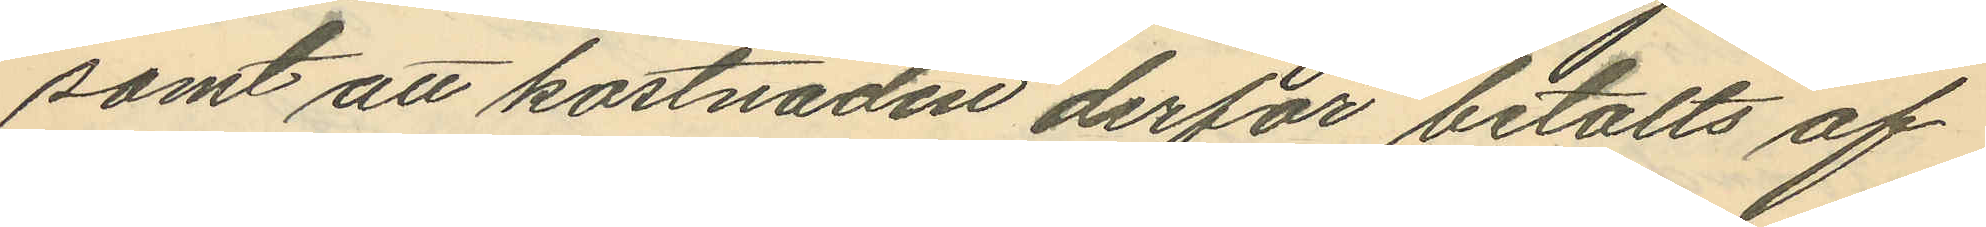samt att kostnaden derför betalts af
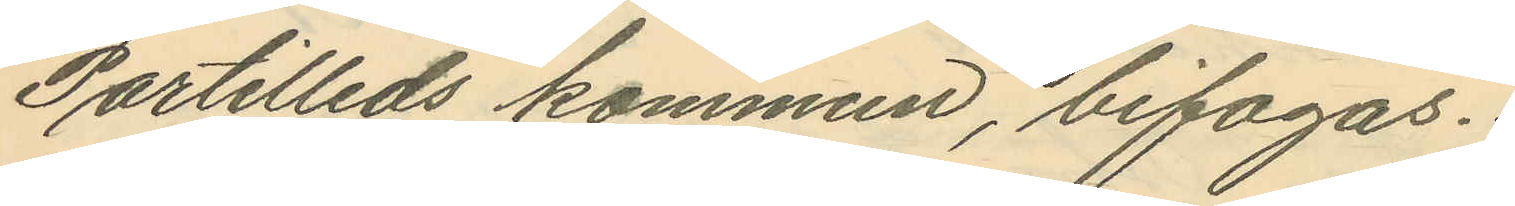Partilleds kommun, bifogas.
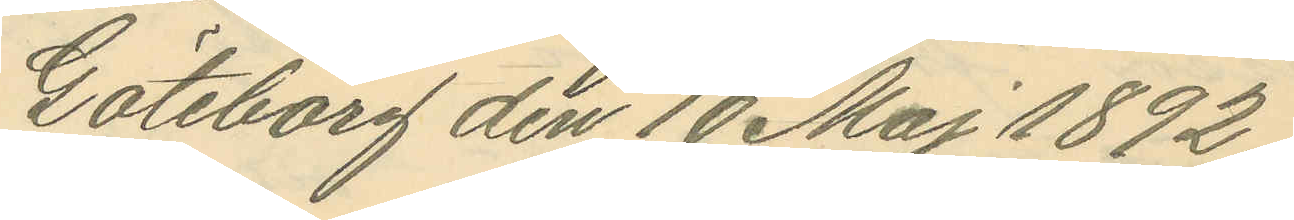Göteborg den 10 Maj 1892.
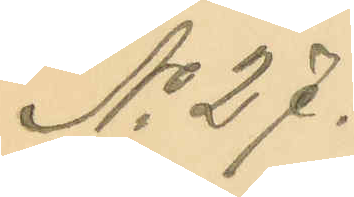No 27.
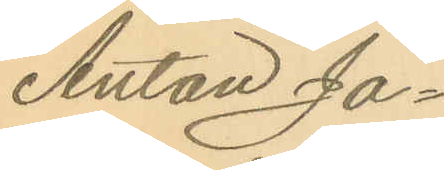Anton Ja¬
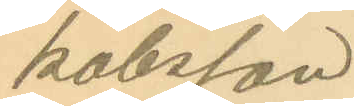kobsson
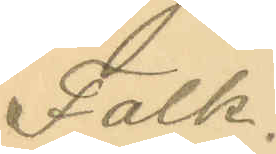Falk.
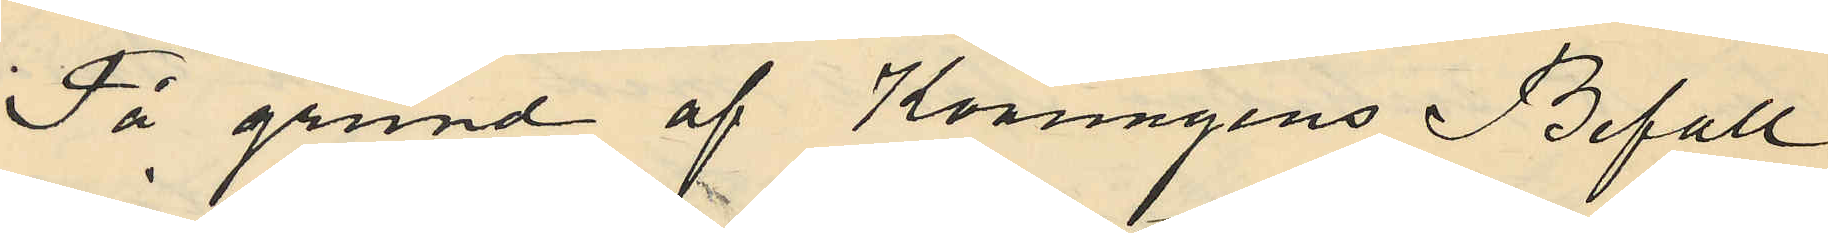På grund af Konungens Befall¬
